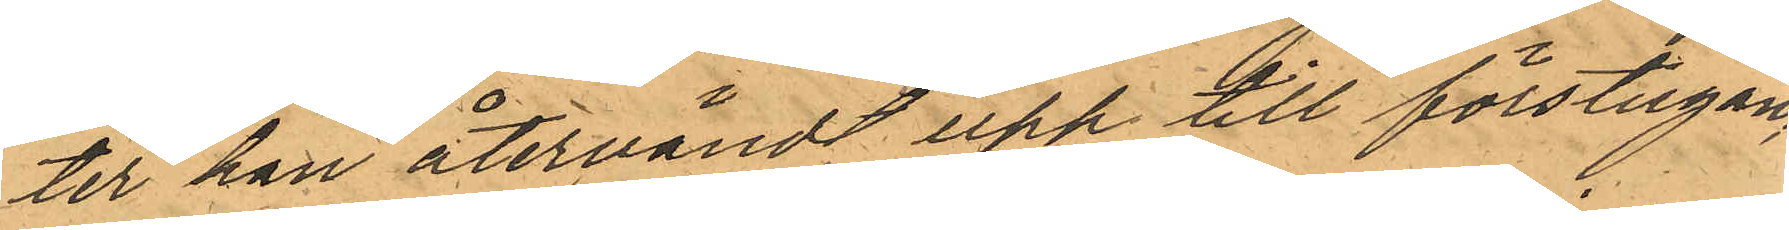ter han återvändt upp till förstugan,
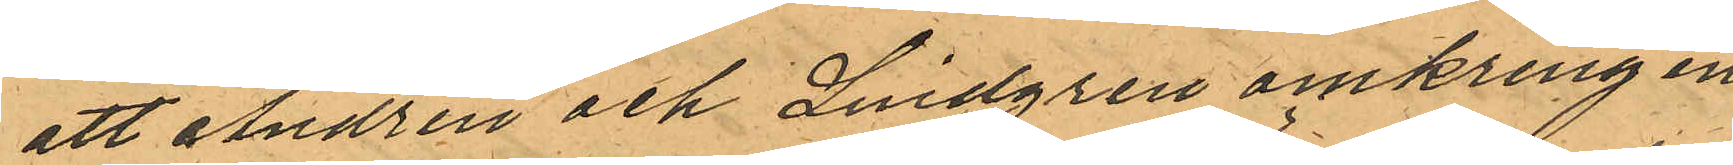att Andrén och Lindgren omkring en
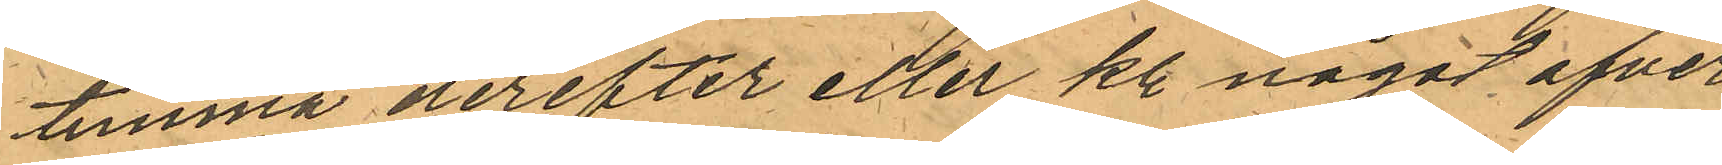timma derefter eller kl. något afver
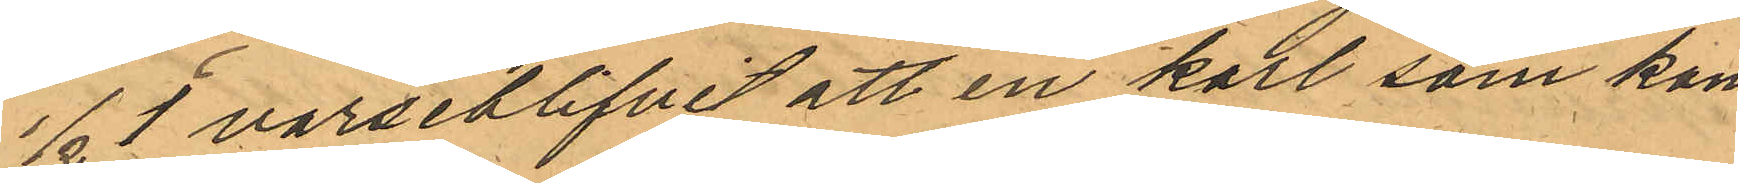1/2 1 varseblifvit att en karl som kom¬
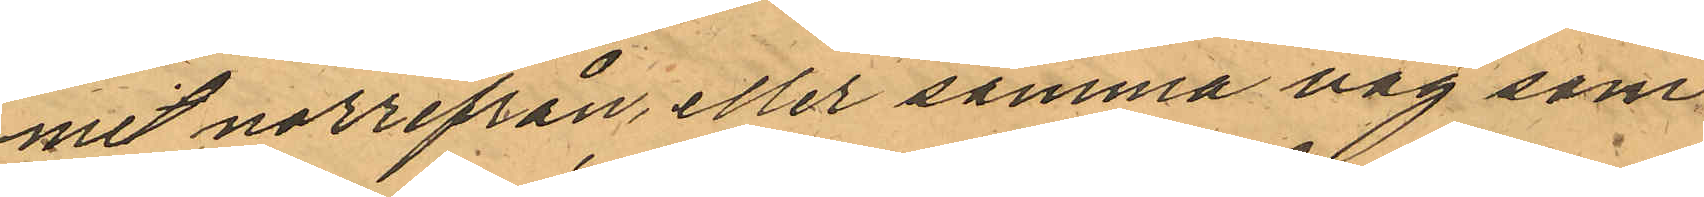mit norrifrån, eller samma väg som
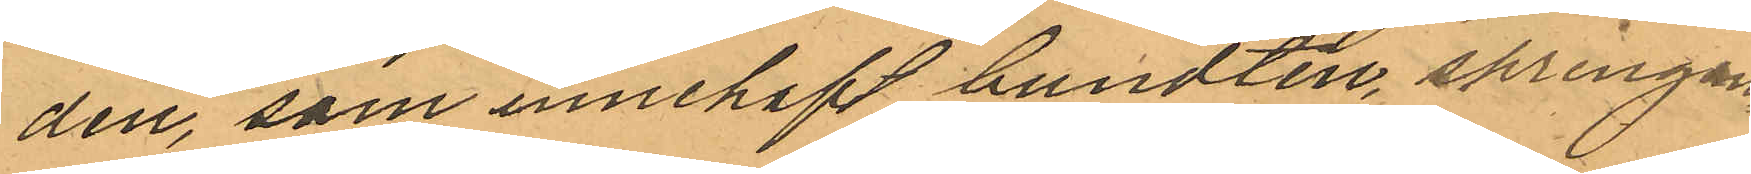den, som innehaft bundten, springan¬
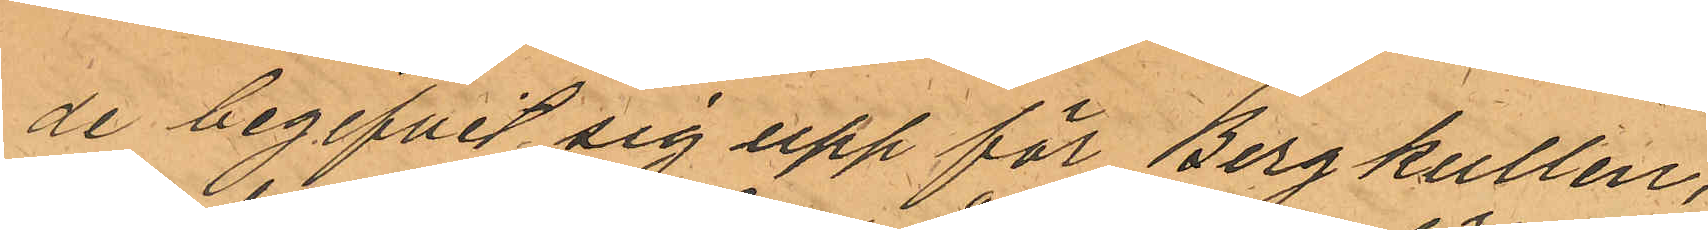de begifvit sig upp för Bergkullen,
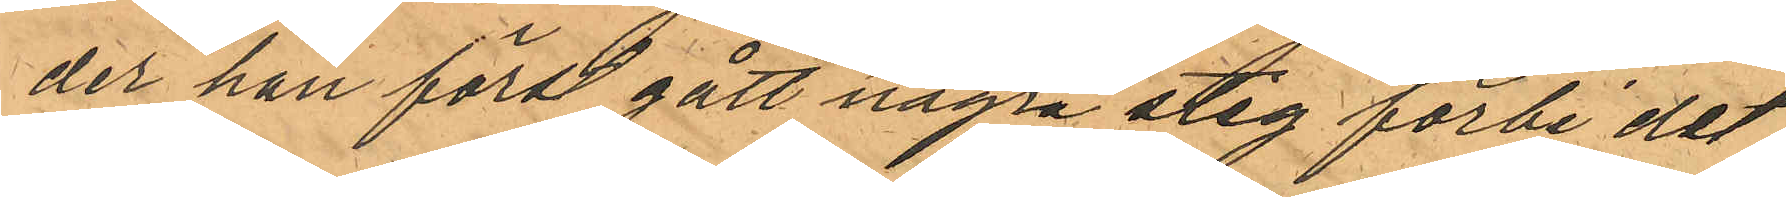der han först gått några steg förbi det
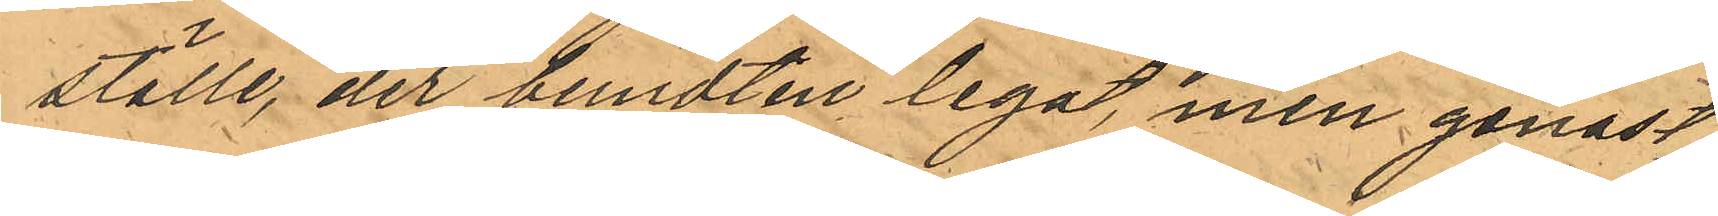ställe, der bundten legat, men genast
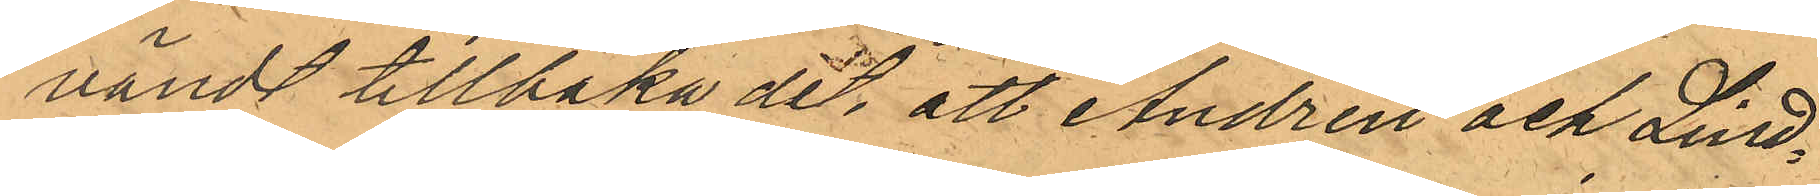vändt tillbaka dit, att Andrén och Lind¬
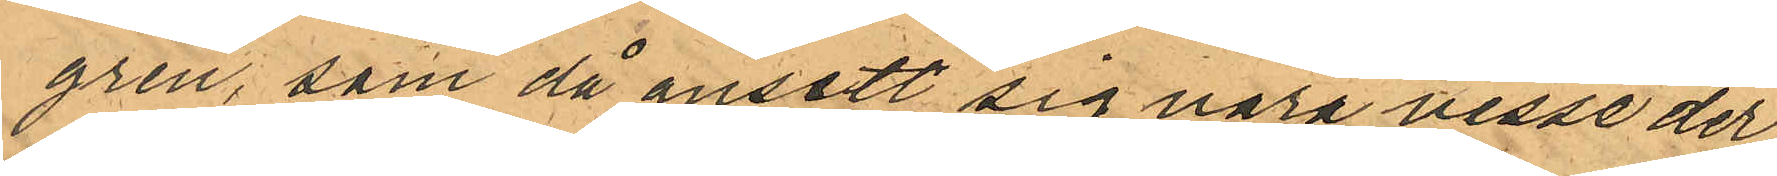gren, som då ansett sig vara visse der¬
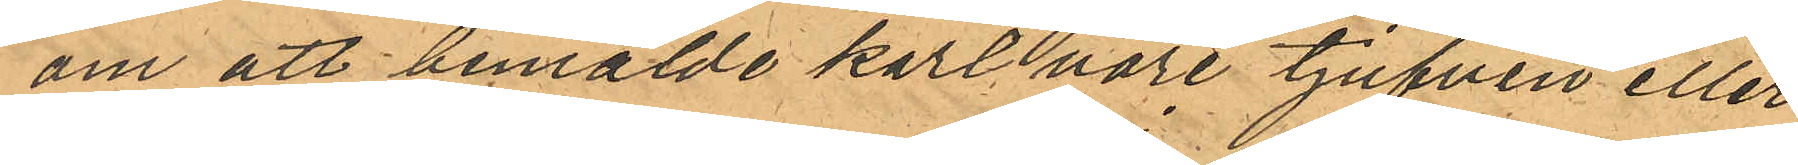om att bemälde karl vore tjufven eller
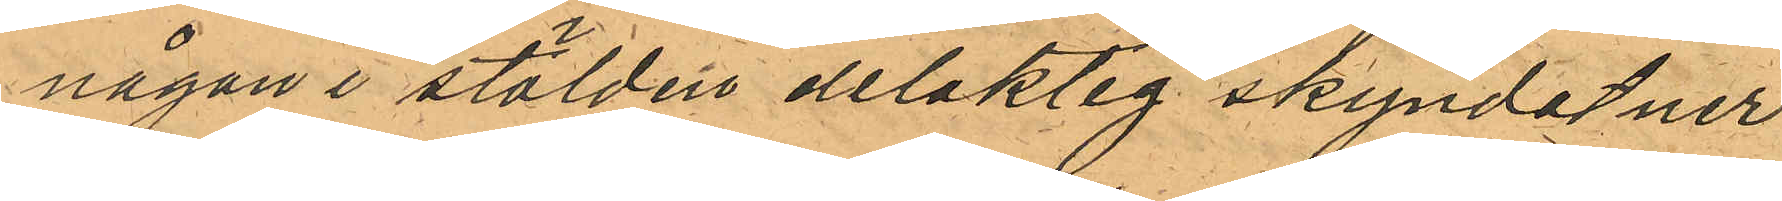någon i stölden delaktig skyndat ner
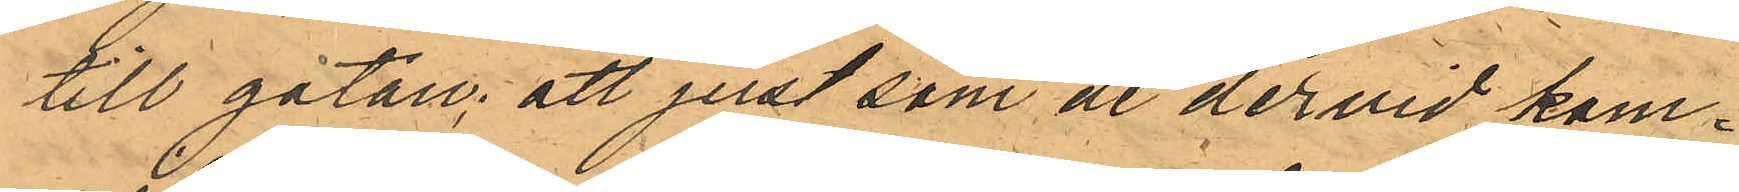till gatan; att just som de dervid kom¬
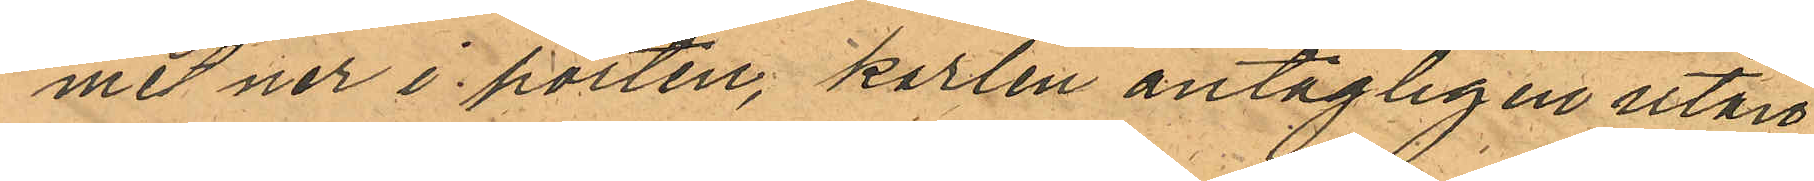met ner i porten, karlen antagligen utan
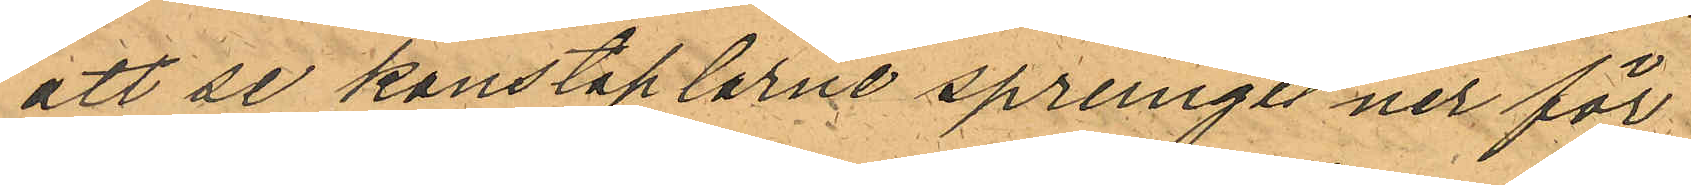att se konstaplarne sprungit ner för
